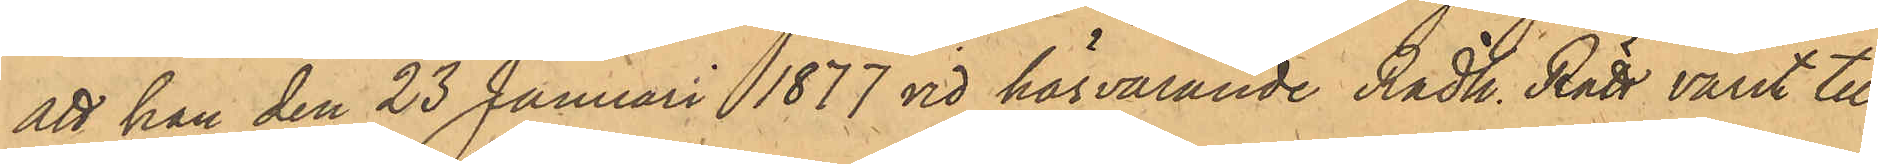att han den 23 Januari 1877 vid härvarande Rådh. Rätt varit till¬
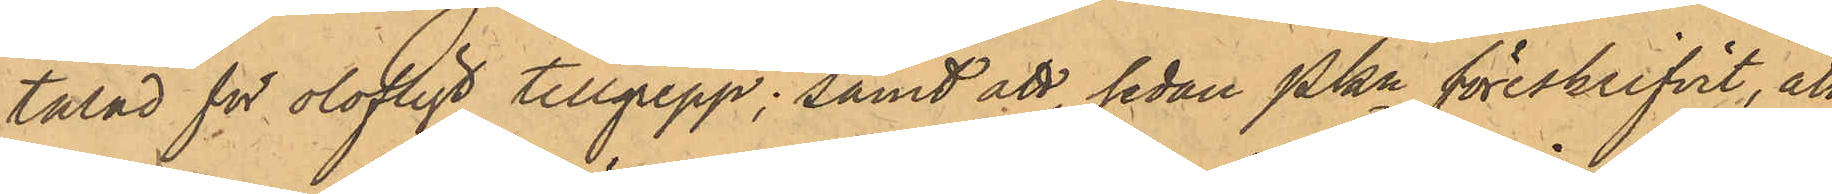talad för olofligt tillgrepp; samt att, sedan Pkn föreskrifvit, att
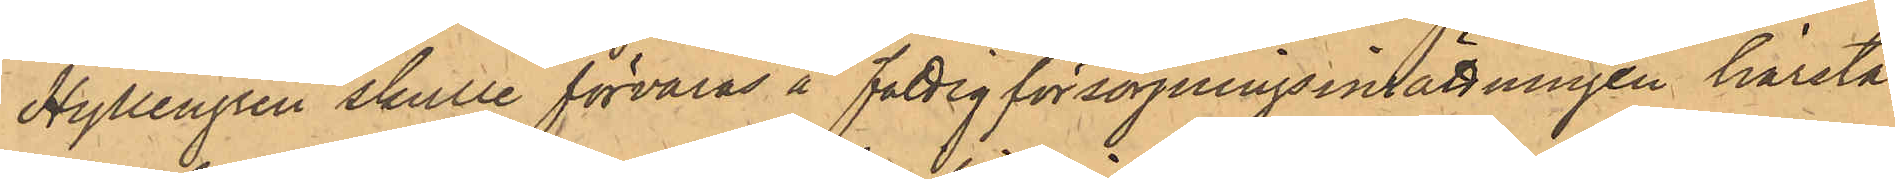Hyllengren skulle förvaras å fattigförsörjningsinsättningen härstä¬
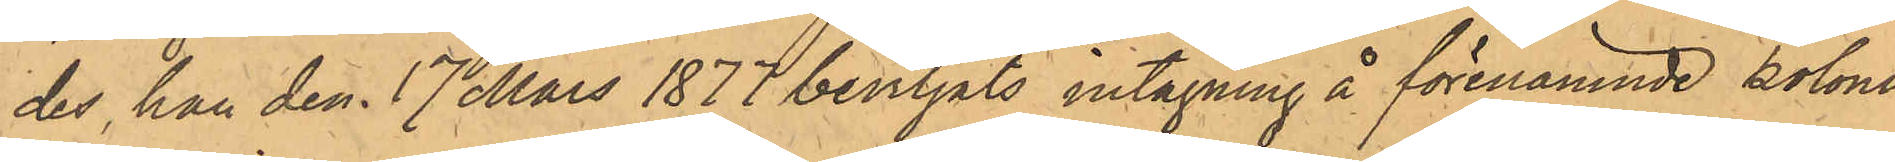des, han den 17 Mars 1877 beviljats intagning å förenämnde koloni.
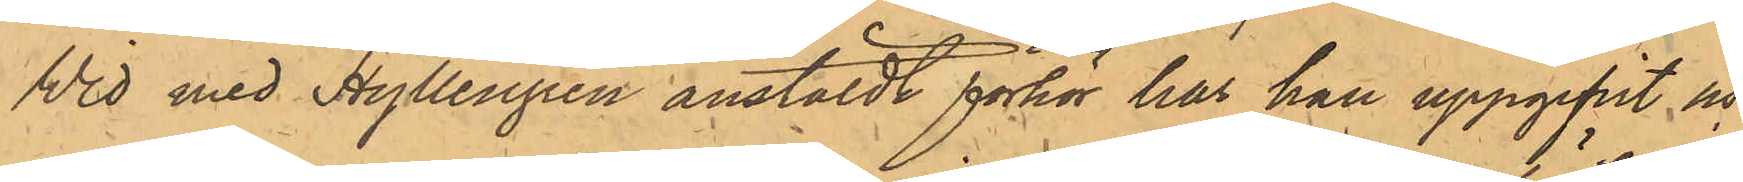Wid med Hyllengren anstäldt förhör har han uppgifvit och
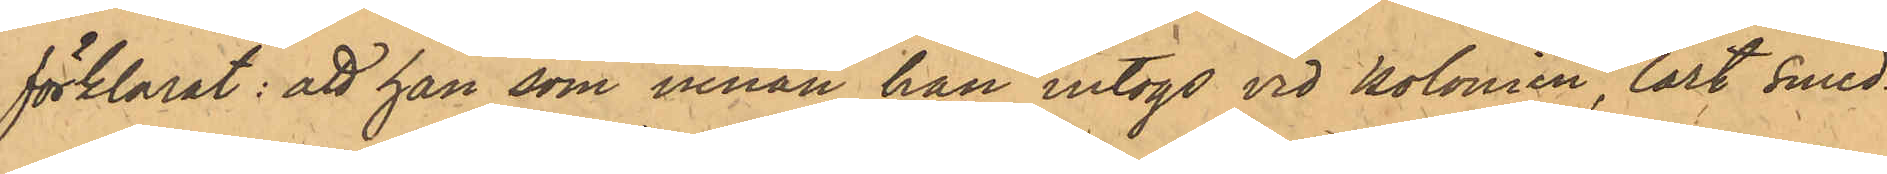förklarat: att han som innan han intogs vid kolonien, lärt smed¬
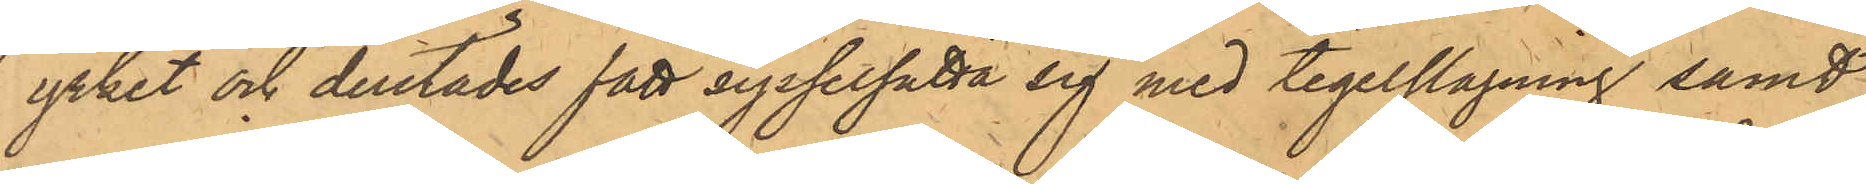yrket och derstädes fått sysselsatta sig med tegelslagning samt
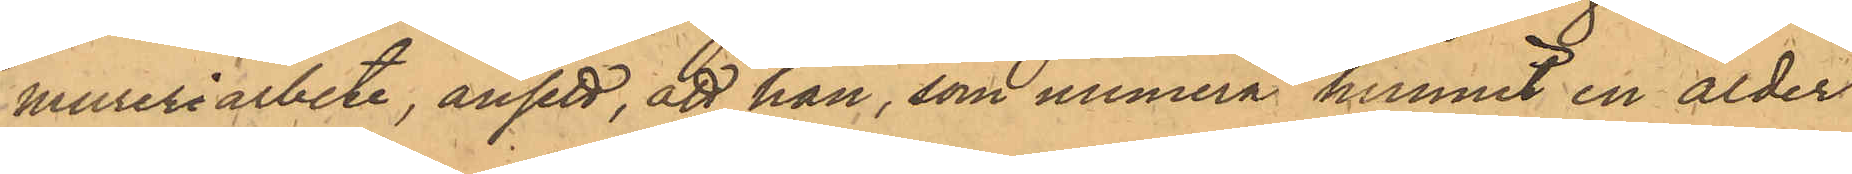mureriarbete, ansett, att han, som numera hunnit en ålder
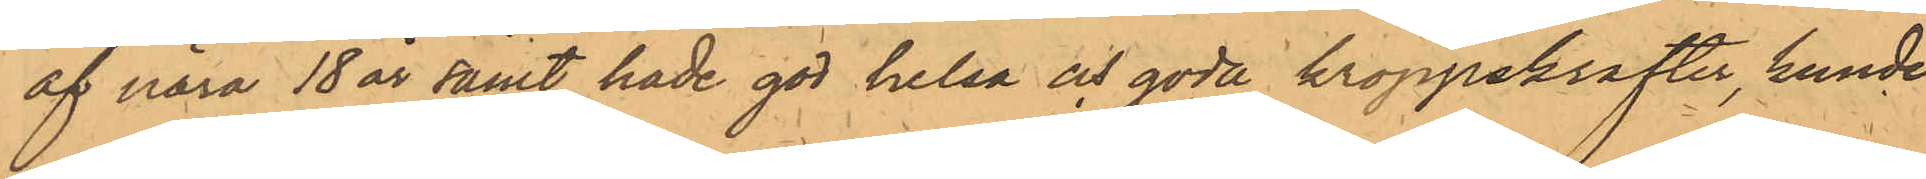af nära 18 år samt hade god helsa och goda kroppskrafter, kunde
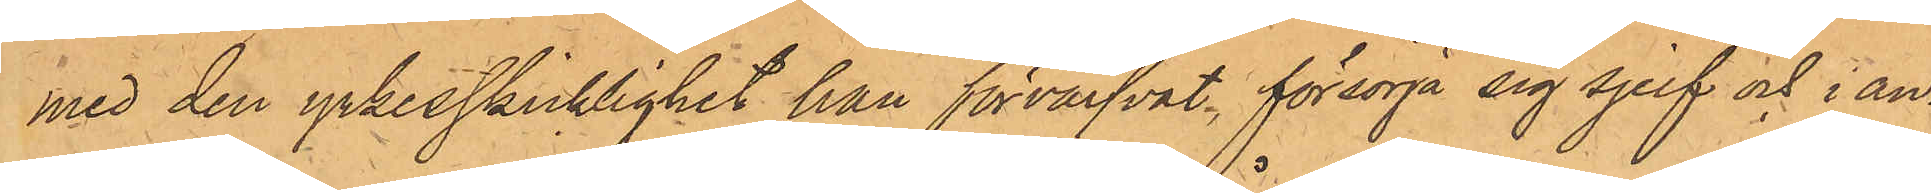med den yrkesskicklighet han förvärfvat, försörja sig sjelf och i an¬
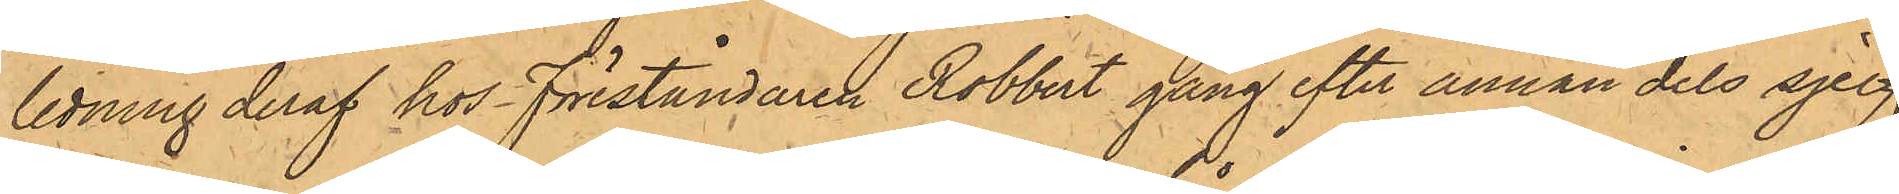ledning deraf hos Föreståndaren Robbert gång efter annan dels sjelf
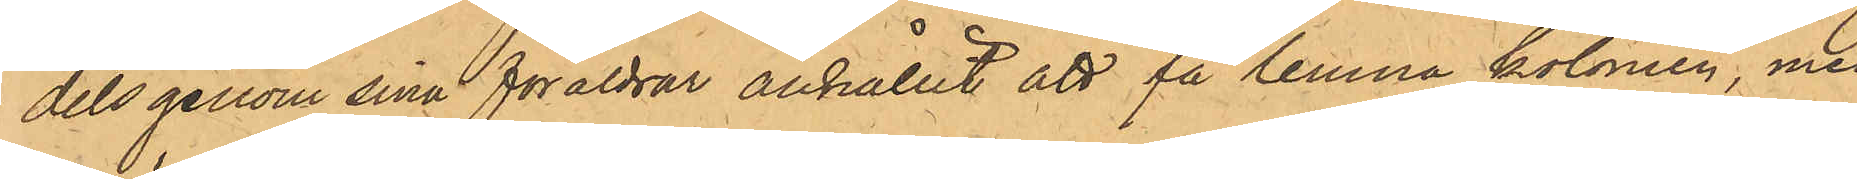dels genom sina föräldrar anhållit att få lemna kolonien, men
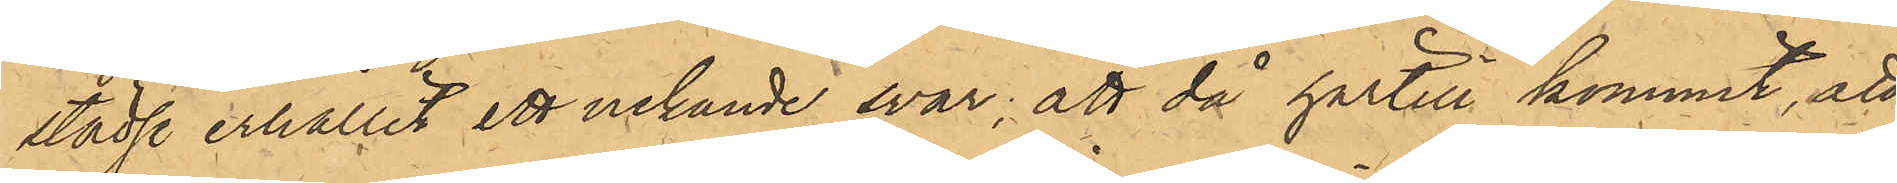städse erhållit ett nekande svar; att då härtill kommit, att
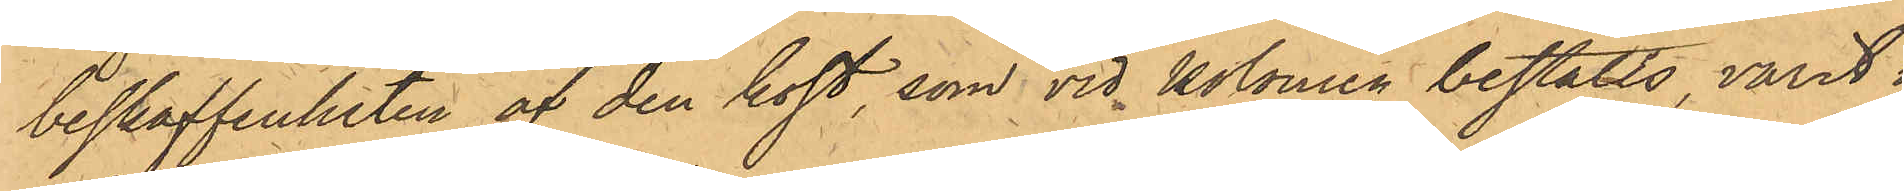beskaffenheten af den kost, som vid Kolonien beståtts, varit i
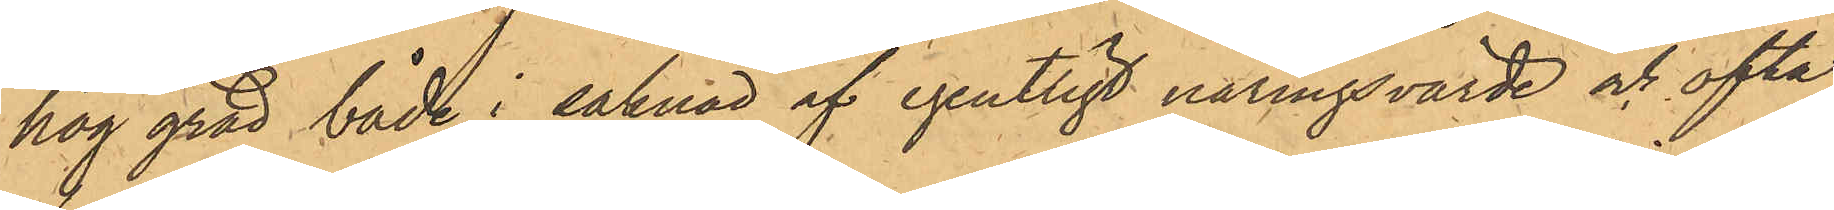hög grad både i saknad af egentligt näringsvärde och ofta
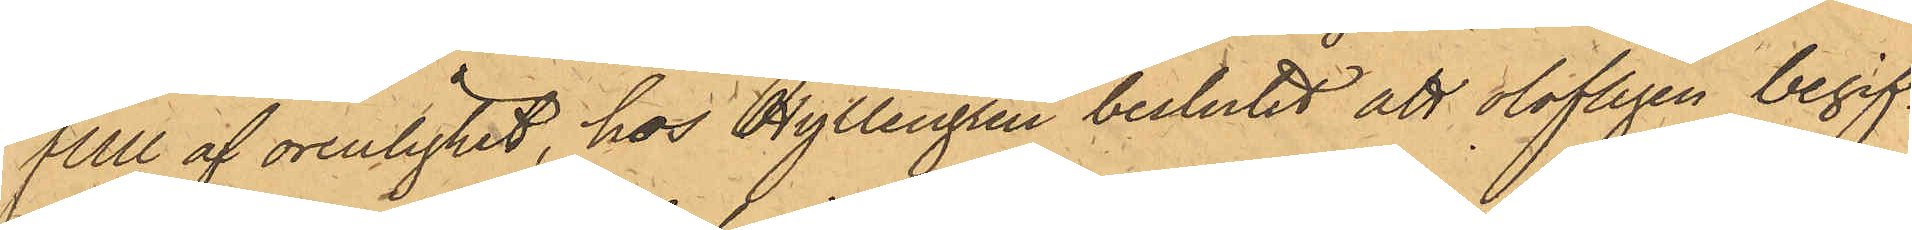full af orenlighet, hos Hyllengren beslutet att olofligen begif¬
